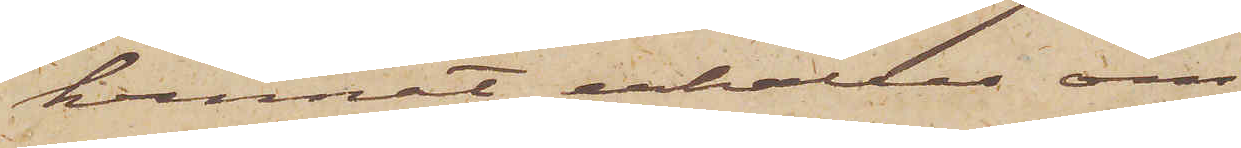kunnat erhållas om
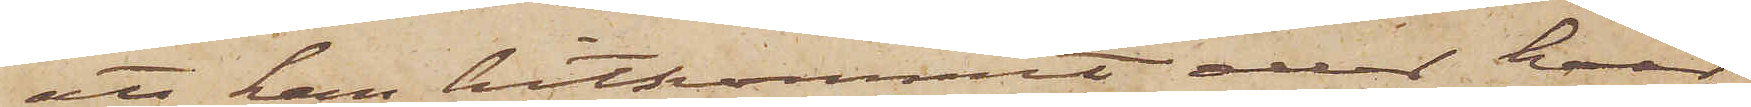att han hitkommit eller hvar
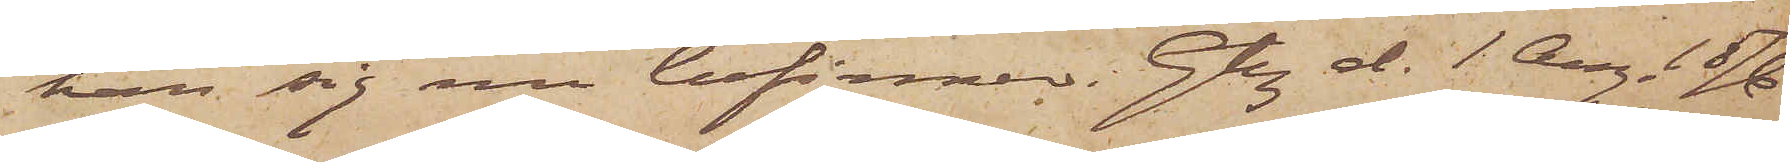han sig nu befinner. Gbg d. 1 Aug. 1876
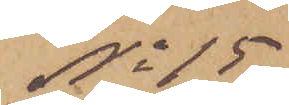No 15
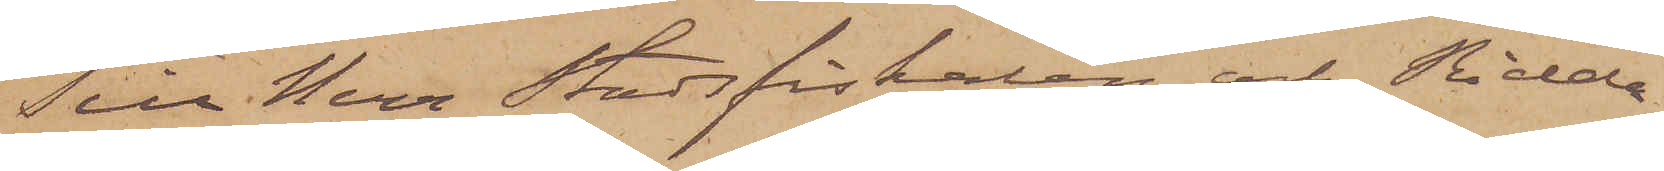Till Herr Stadsfiskalen och Ridda¬
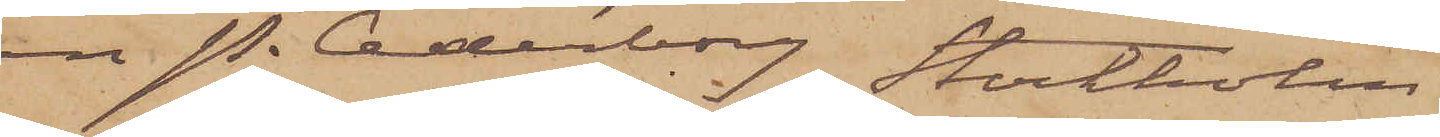ren P. Cederborg Stockholm.
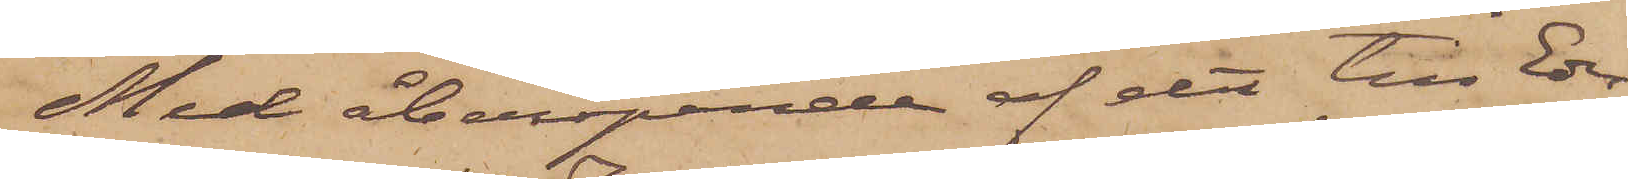Med åberopande af det till Eder
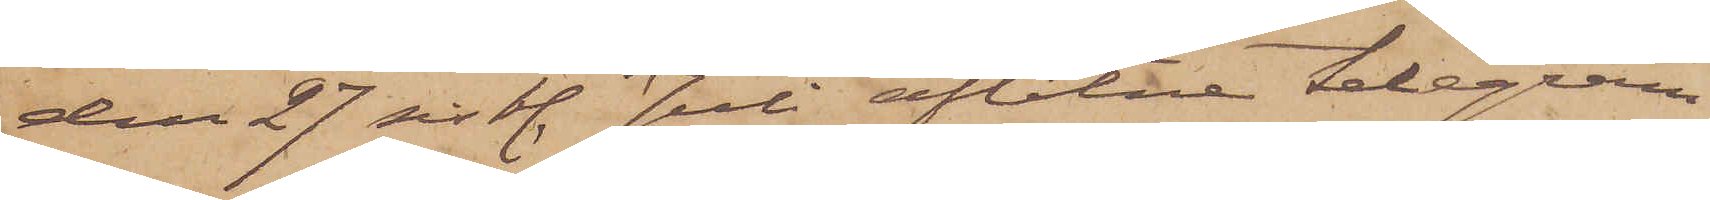den 27 sistl. Juli aflåtne telegram
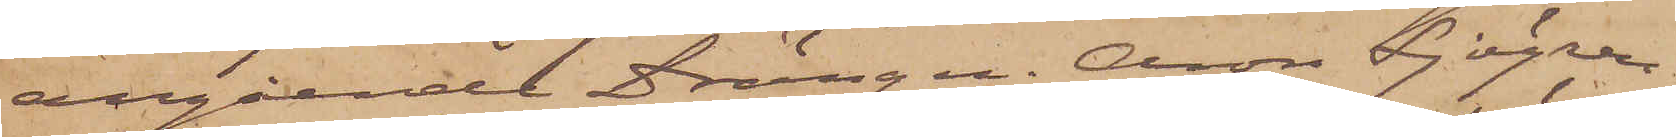angående Drängen. Aron Sjögren,
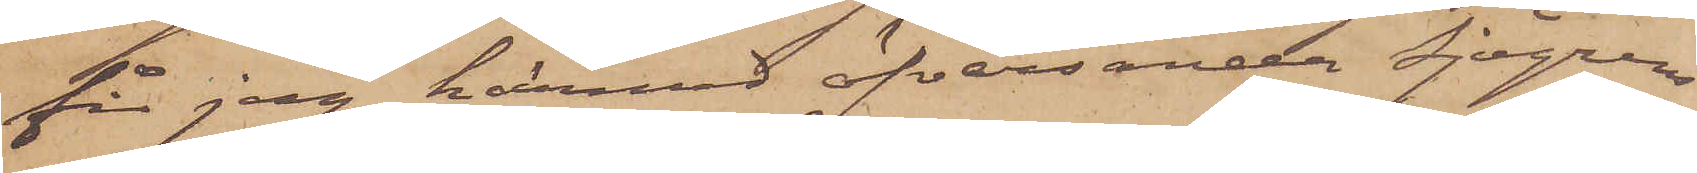får jag härmed öfversända Sjögrens
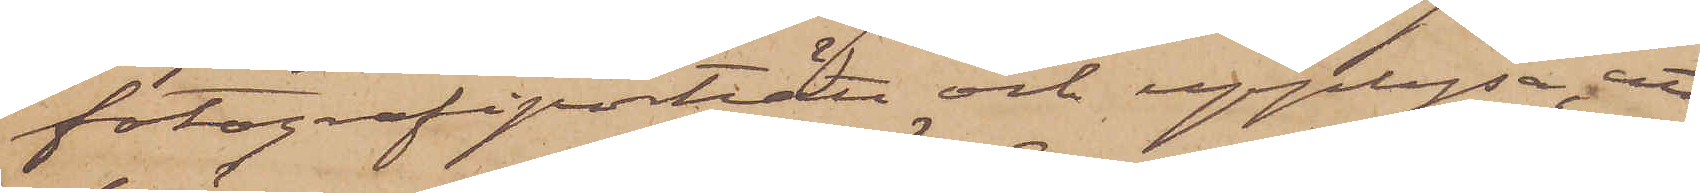fotografiporträtt och upplysa, att
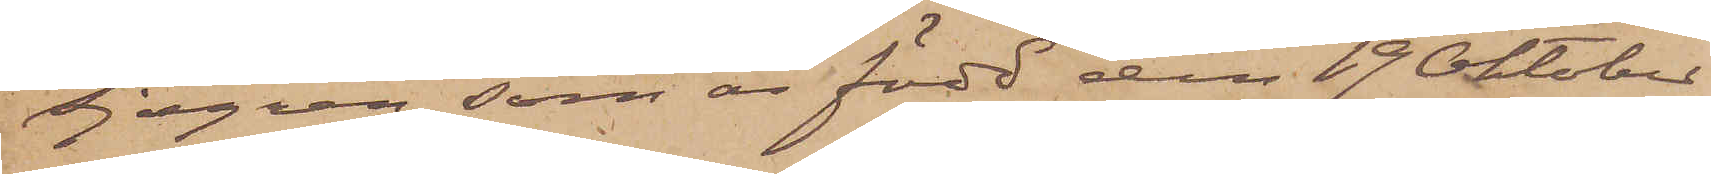Sjögren, som är född den 19 Oktober
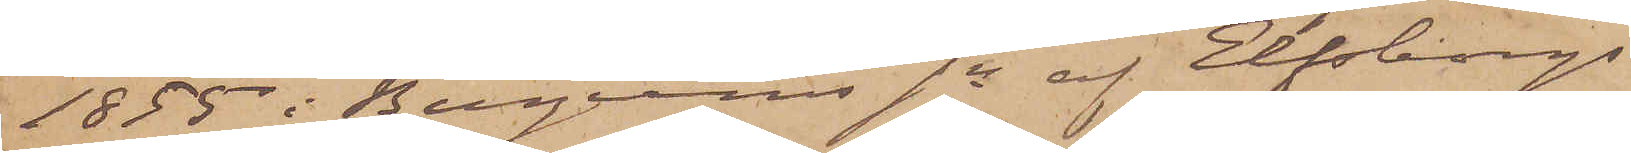1855 i Bergums sn af Elfsborgs
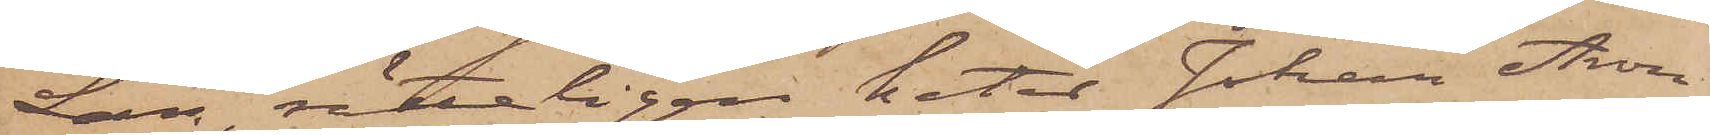Län, rätteligen heter Johan Aron
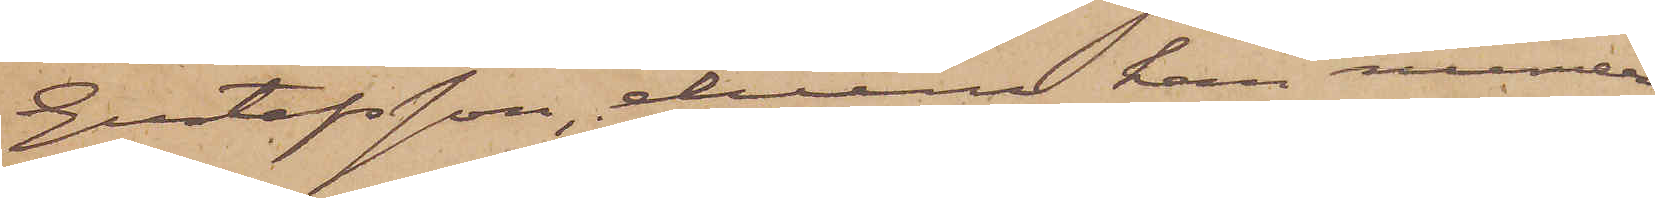Gustafsson, ehuru han numera
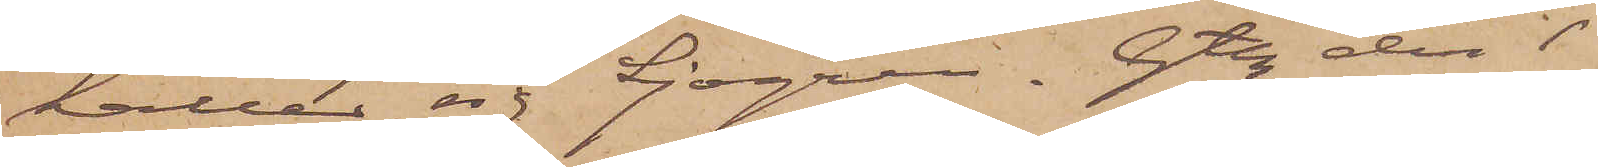kallar sig Sjögren. Gtbg den 1
